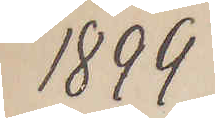1899
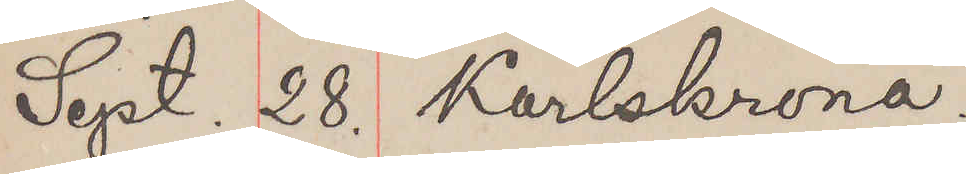Sept. 28. Karlskrona.
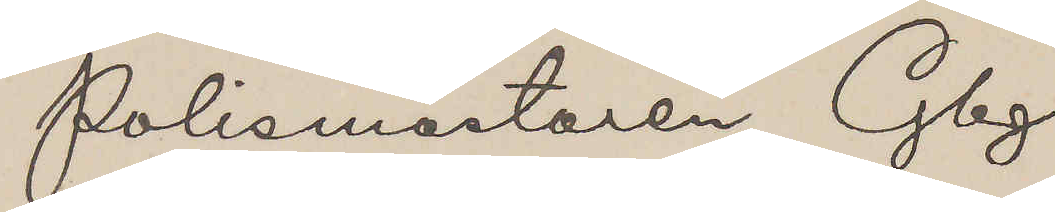Polismästaren Gbg.
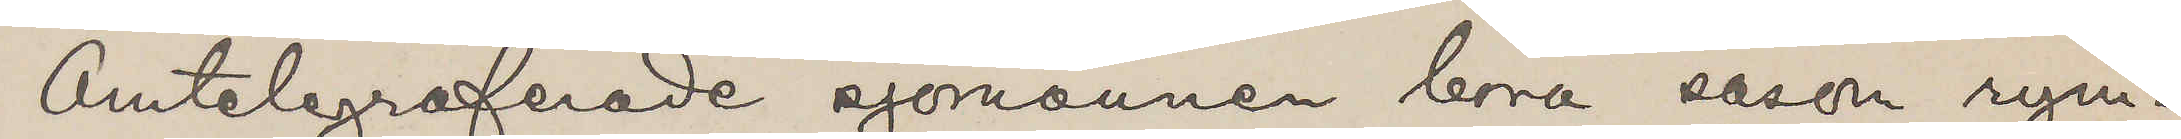Omtelgraferade sjömännen böra såsom rym¬
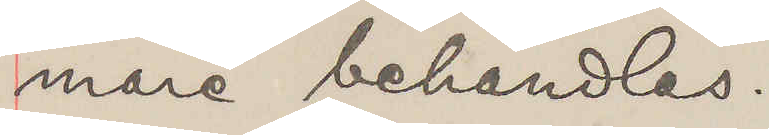mare behandlas.
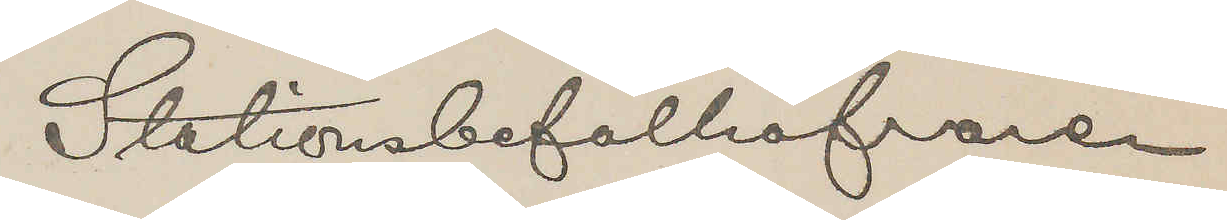Stationsbefälhafvaren
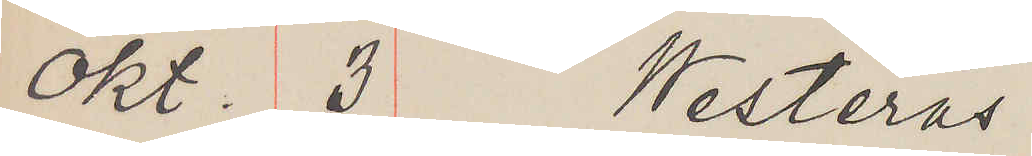Okt. 3 Westerås
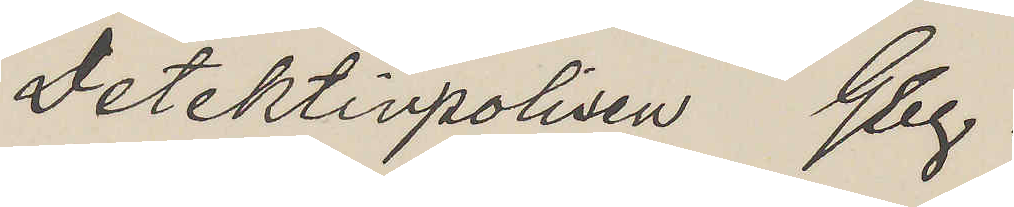Detektipolisen Gbg.
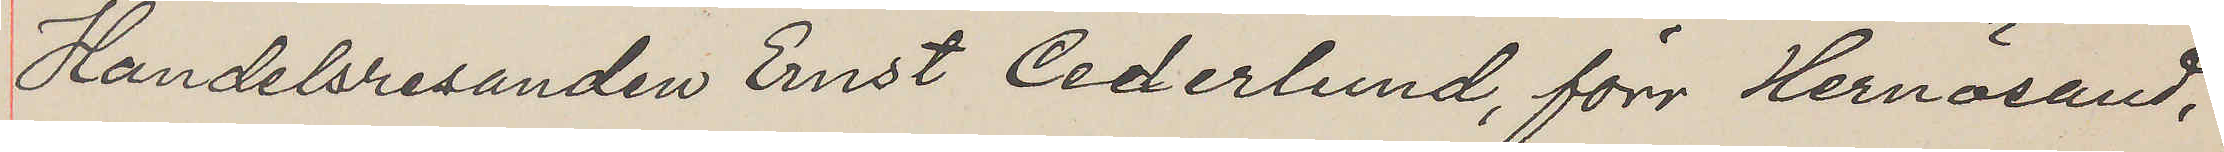Handelsresanden Ernst Cederlund, förr Hernösand,
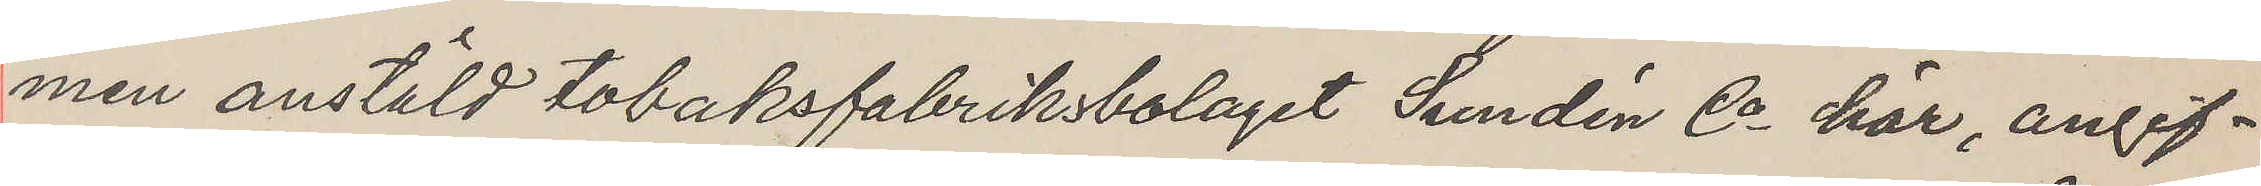men anstäld tobaksfabriksbolaget Sundén Co här, angif¬
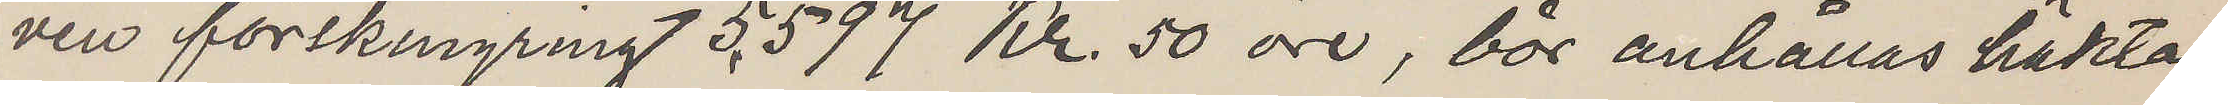ven förskingring 5,597 Kr. 50 öre, bör anhållas häktas
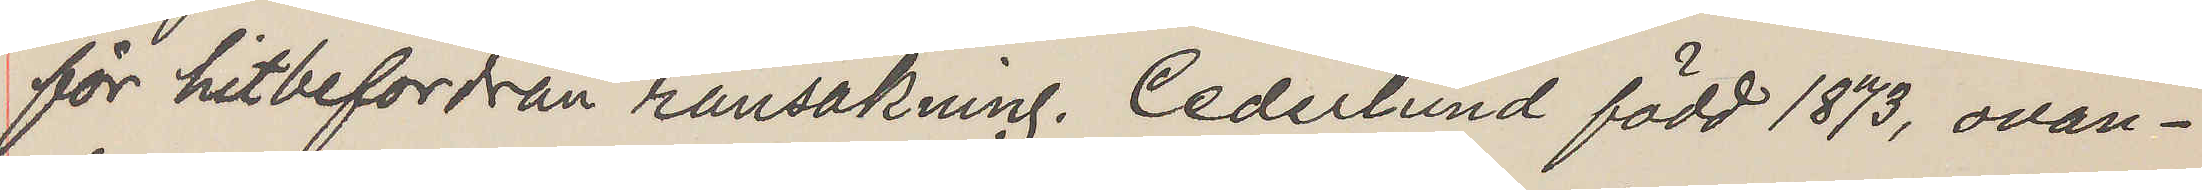för hitbefordran ransakning. Cederlund född 1873, ovan¬
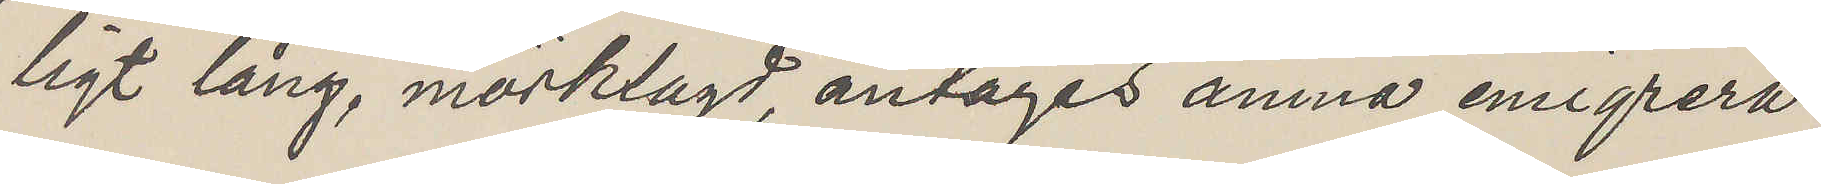ligt lång, mörklagd, antages ämna emigrera.
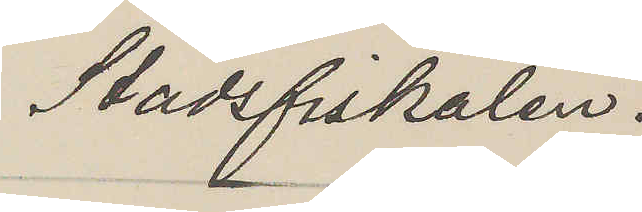Stadsfiskalen.
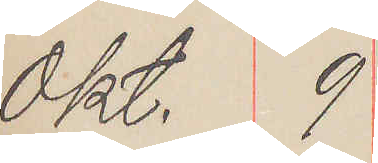Okt. 9
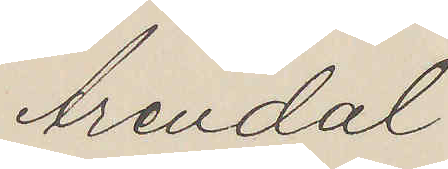Arendal
